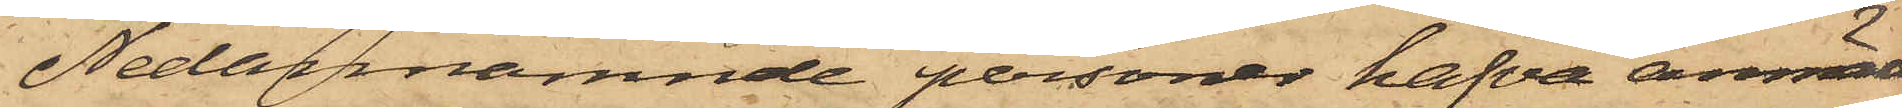Nedannämnde personer hafva anmält
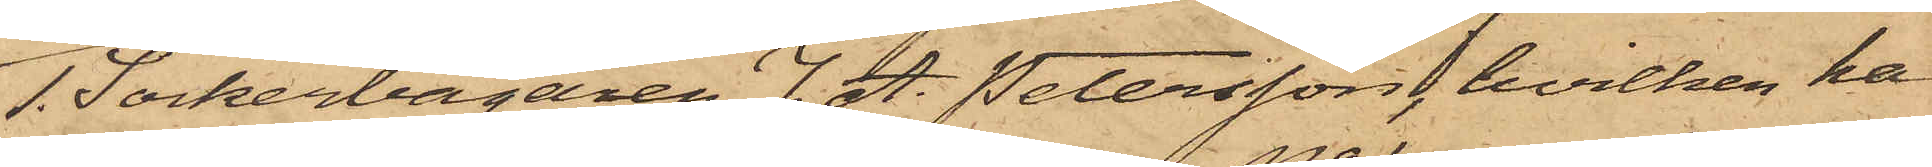1. Sockerbagaren J. A. Petersson, hvilken har
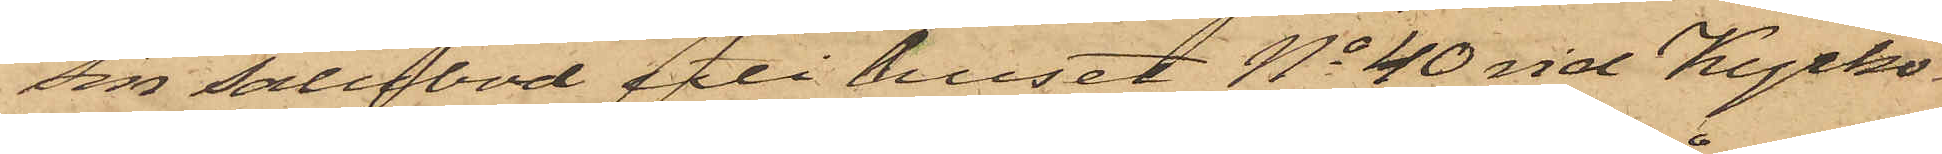sin salubod i huset No 40 vid Kyrko¬
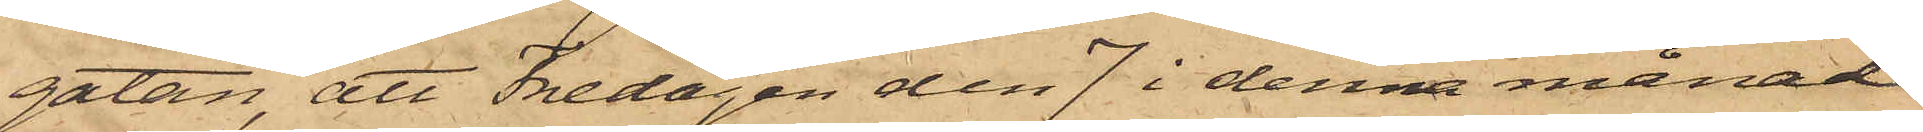gatan, att Fredagen den 7 i denna månad
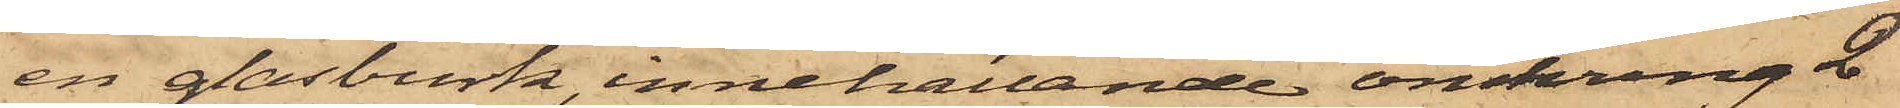en glasburk, innehållande omkring 2
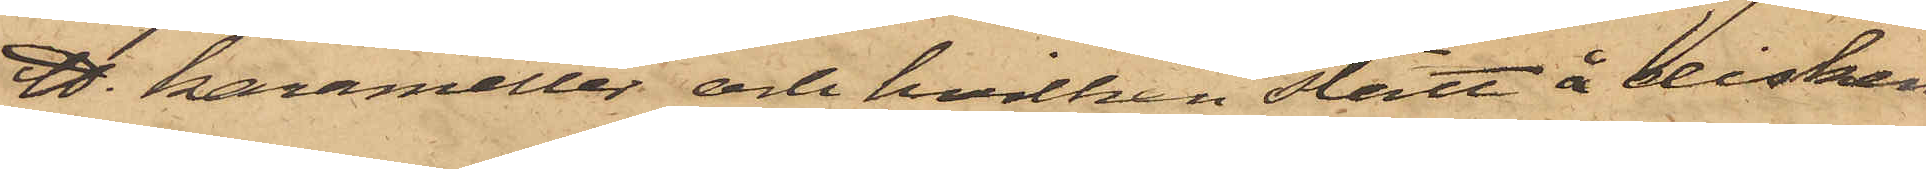℔. karameller och hvilken stått å disken
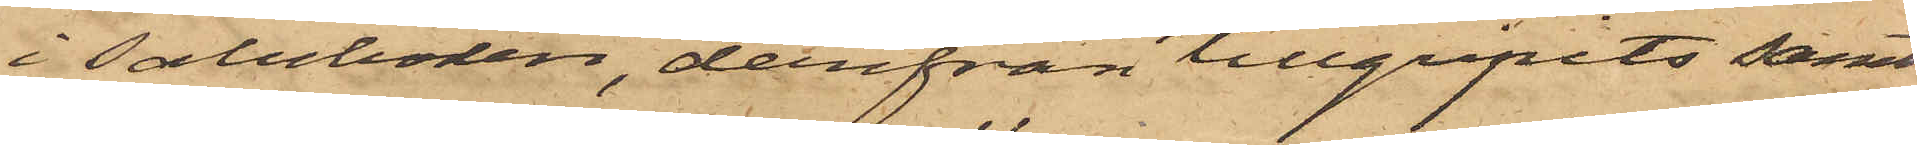i Saluboden, derifrån tillgripits samt
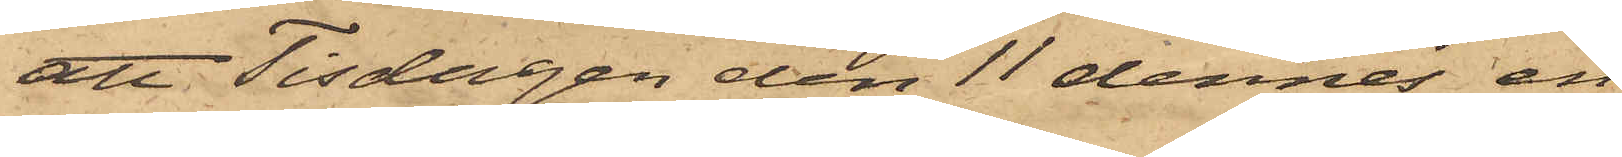att Tisdagen den 11 dennes en
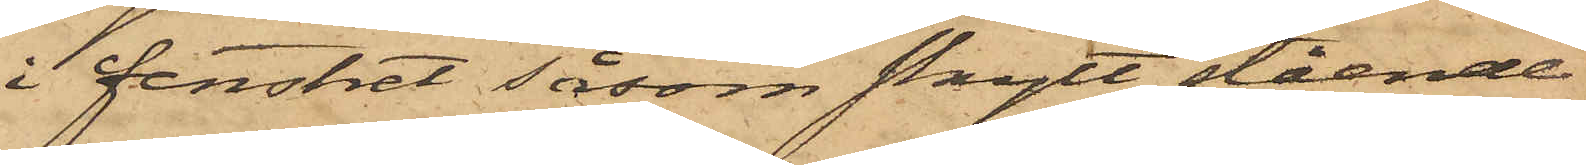i fenstret såsom skylt stående
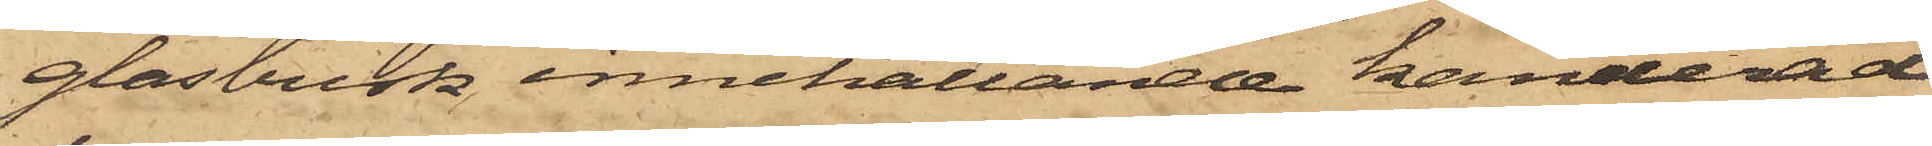glasburk innehållande kanderad
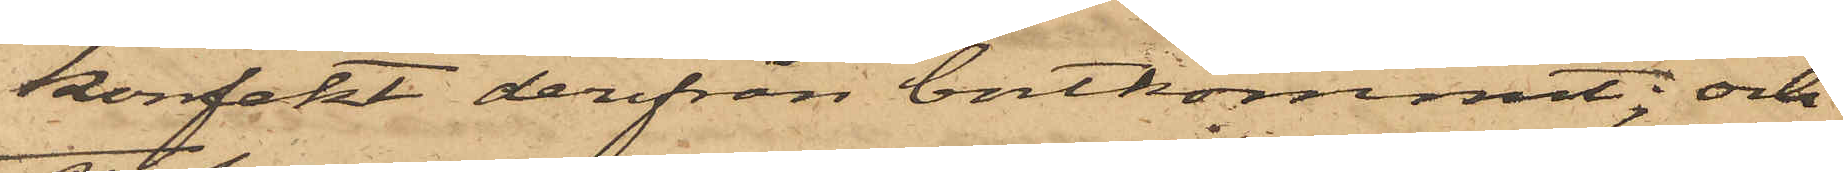konfekt derifrån bortkommit; och
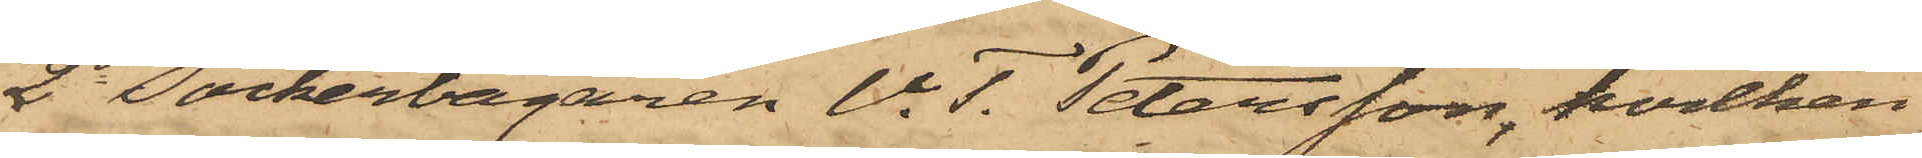2o Sockerbagaren V. T. Petersson, hvilken
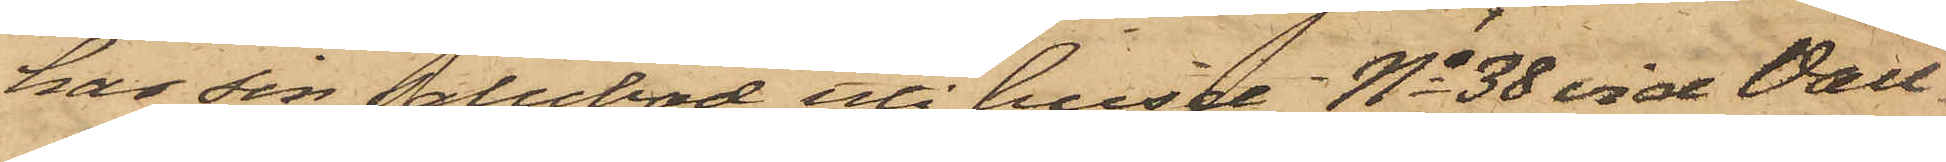har sin Salubod uti huset No 38 vid Vall¬
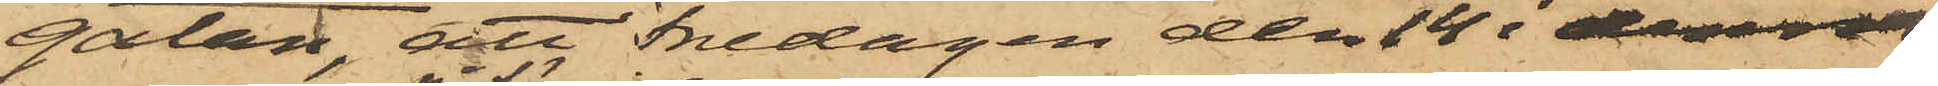gatan, att Fredagen den 14 i denna
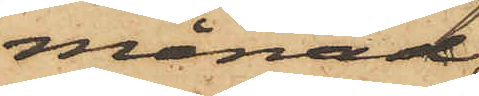månad
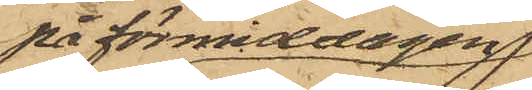på förmiddagen
